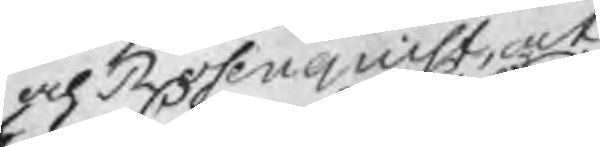och Rosenquist, at
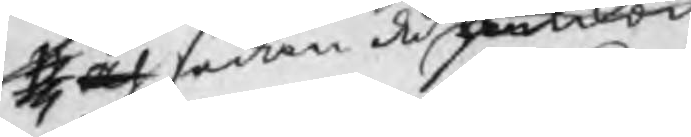och sedan de ankom¬
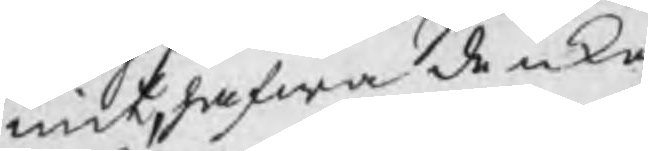mit, hafwa de icke
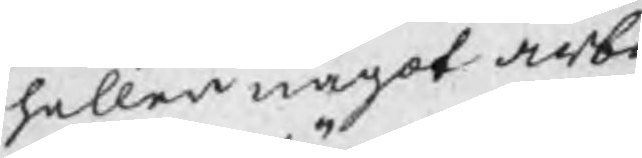heller något arbe¬
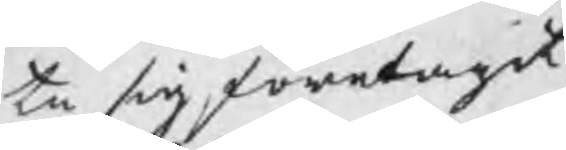te sig företagit
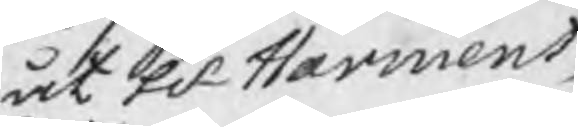åt Hr Harmens,
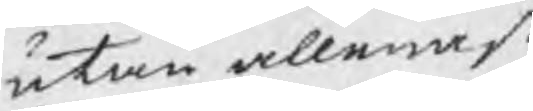utan allenast
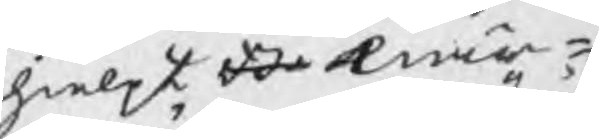hielpt B enär¬
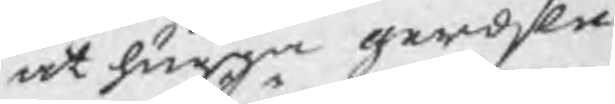at hugga gerdsle
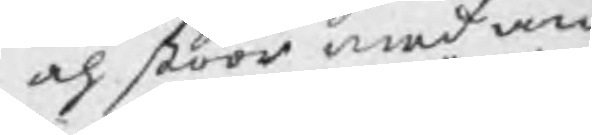och stöör med an¬
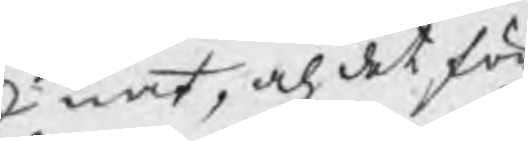nat, och det för
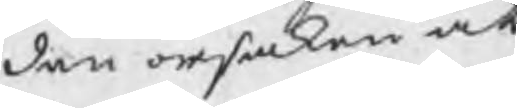den orsaken at
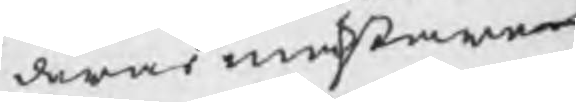deras mästare
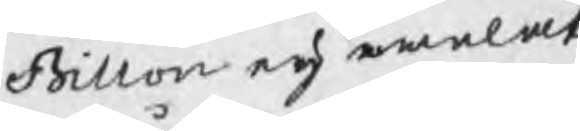Billon eij welat
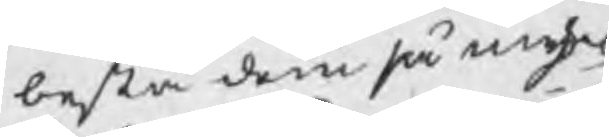bestå dem så myc¬
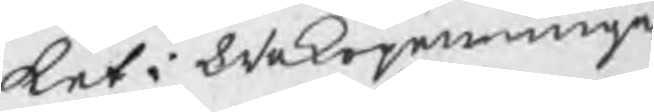ket i Wekopenningar
